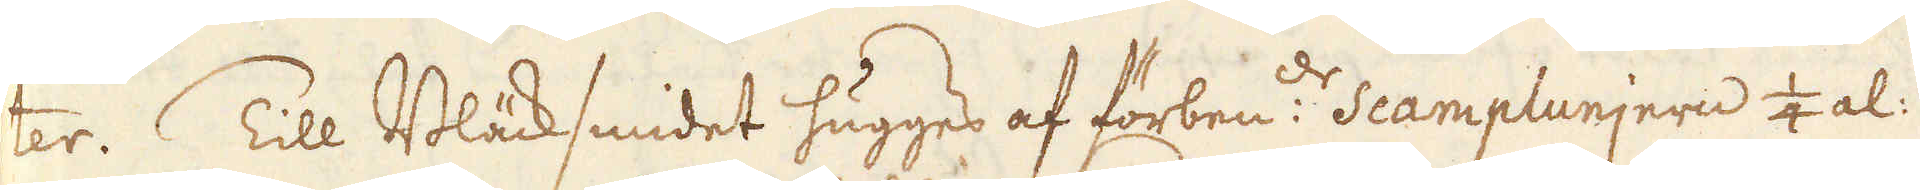ter. Till Bläcksmidet hugges af förben:de scamplunjern 1/4 al:
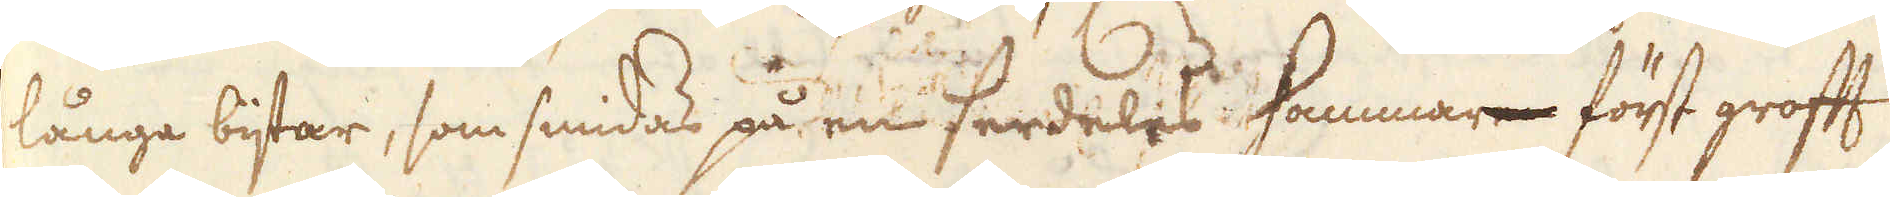långa bijtar, som smidas på en serdeles Hammare först grofft
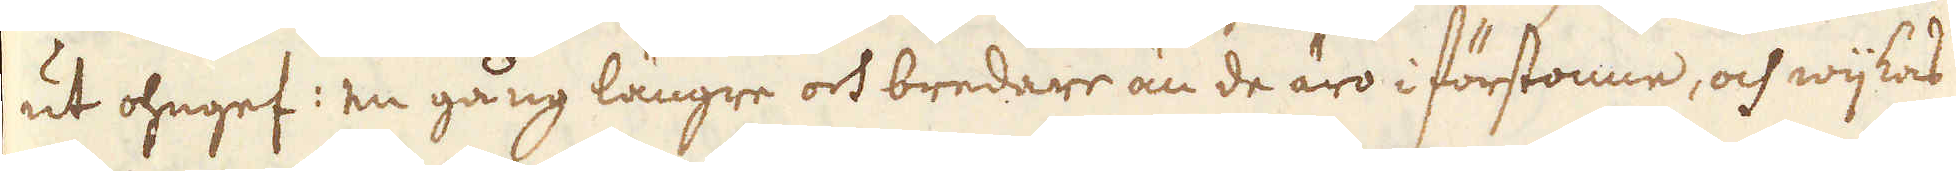ut ohngef: en gång längre och bredare än de äro i förstonne, och wijkas
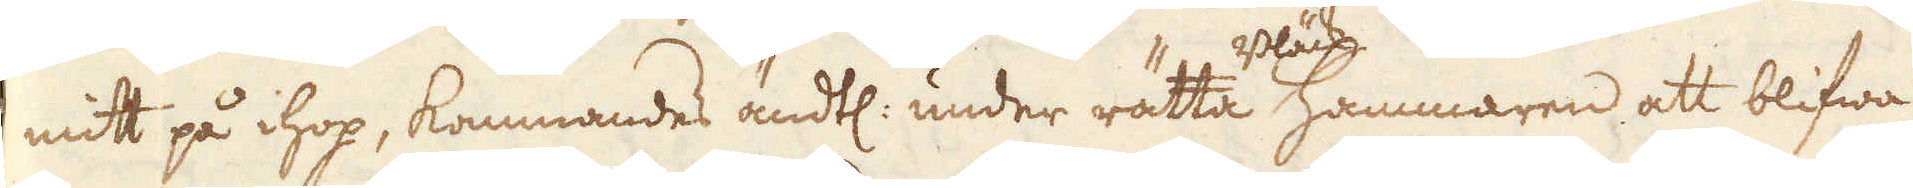mitt på ihop, kommandes ändtl: under rätta Bläck Hammaren att blifwa
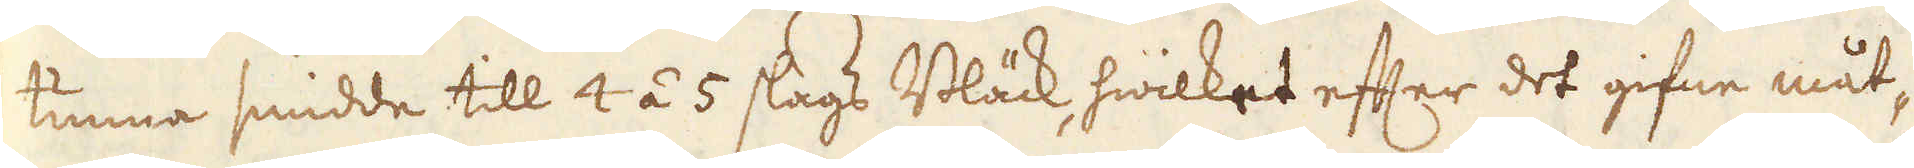tunna smidde till 4 á 5 slags Bläck, hwilket efter det gifne måt-
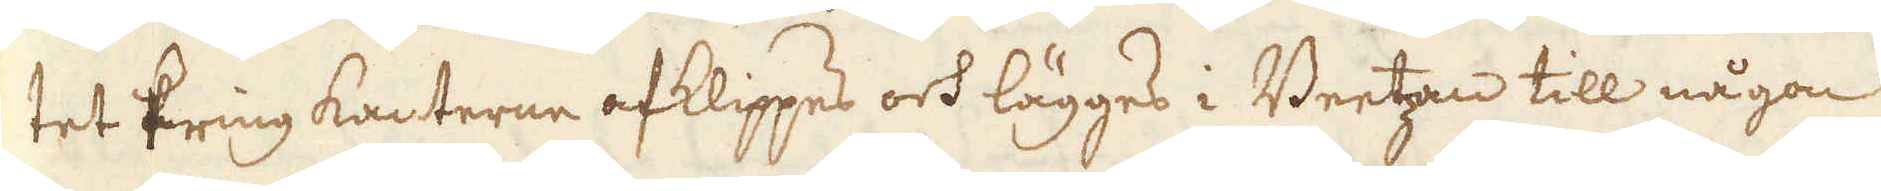tet kring kanterne afklippes och lägges i Beetzan till någon
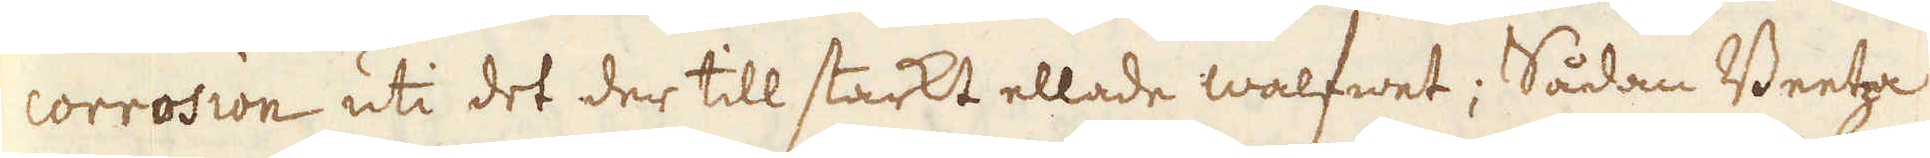corrosion uti det der till starkt ellade walfwet; Sådan Beetza
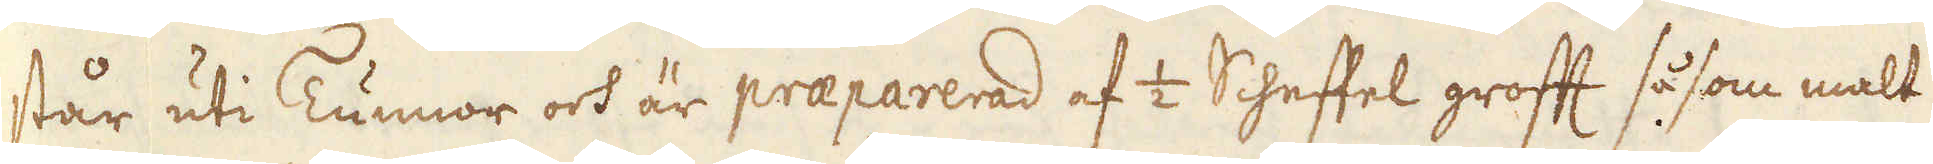står uti Tunnor och är praeparerad af 1/2 Scheffel grofft så som malt
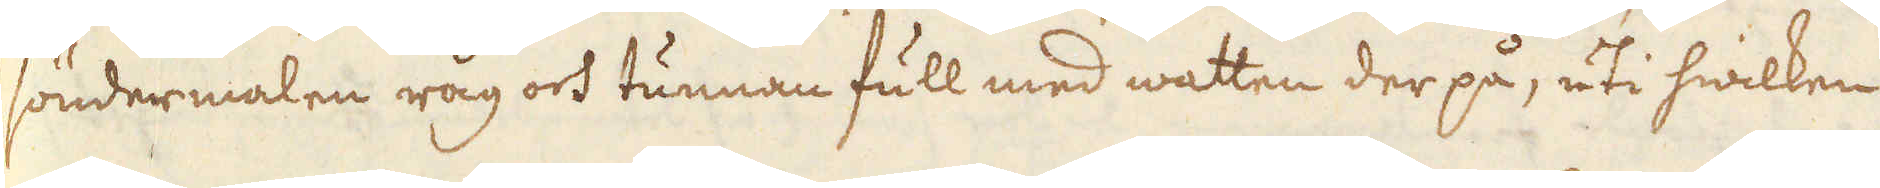söndermalen råg och tunnan full med watten der på, uti hwilken
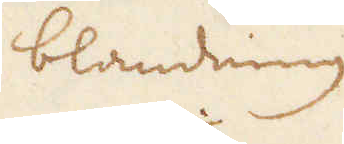blandning
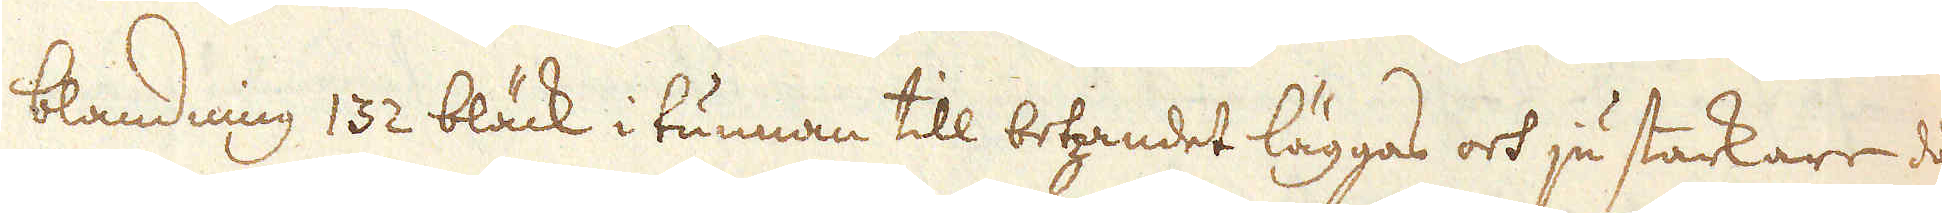blandning 132 bläck i tunnan till betzandet läggas och ju starkare då
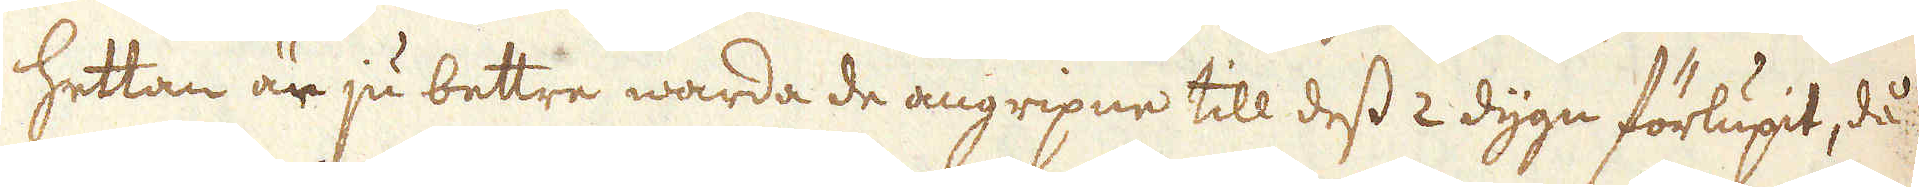hettan är ju bettre warda de angripne till dess 2 dygn förlupit, då
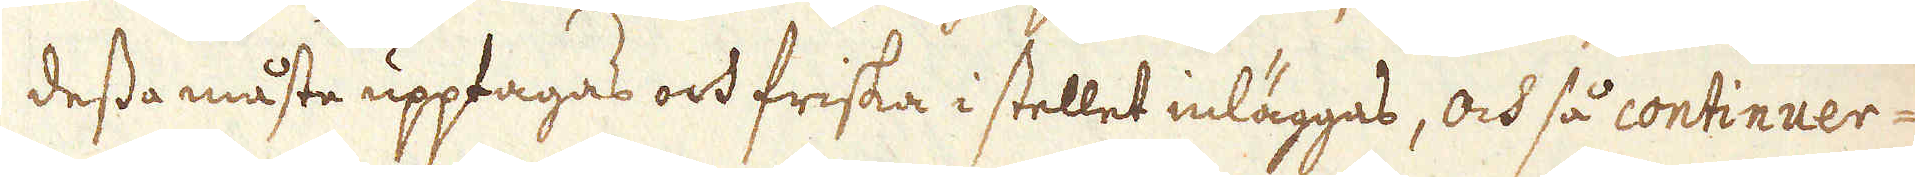dessa måste upptagas och friska i stellet inläggas, och så continuer-
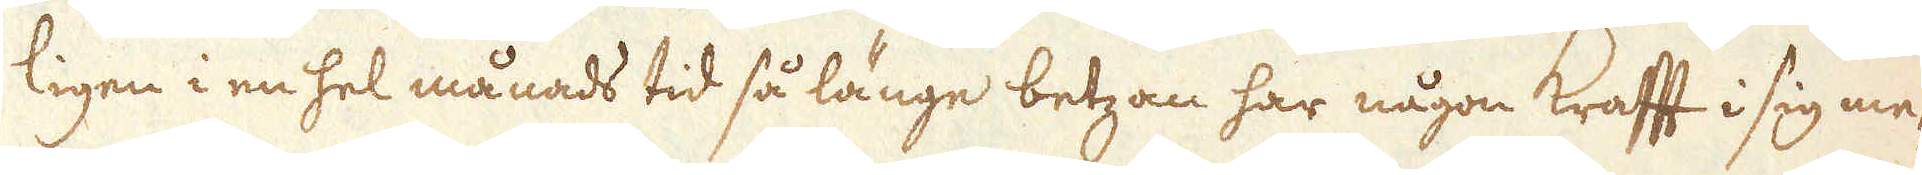ligen i en hel månads tid så länge betzan har någon Krafft i sig me-
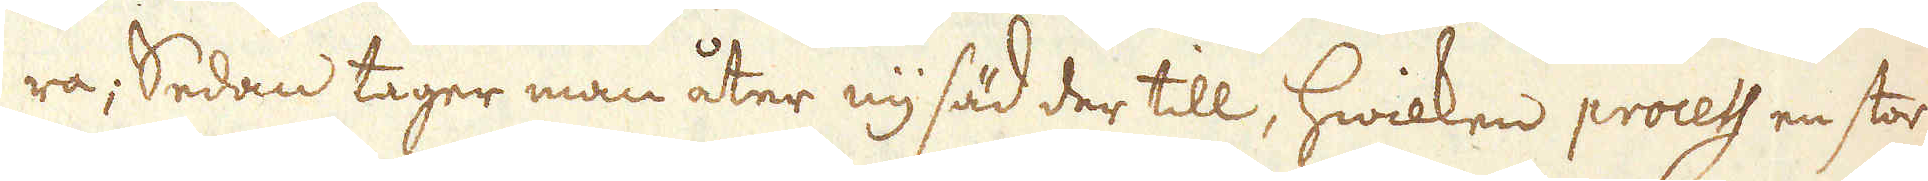ra; Sedan tager man åter ny säd der till, hwilken process en stor
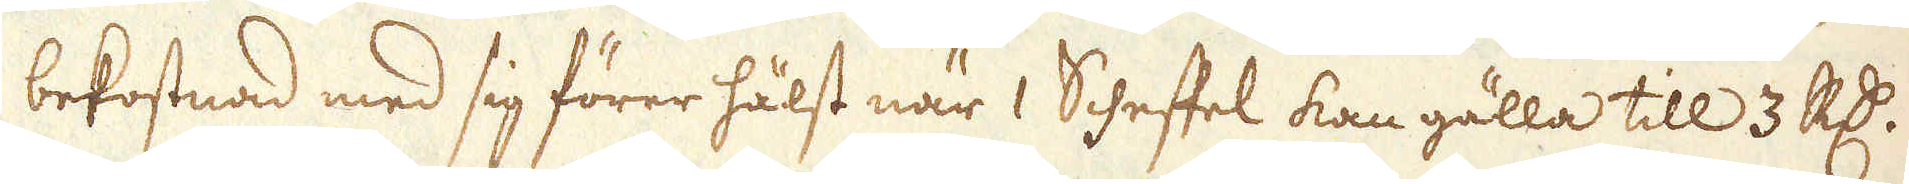bekostnad med sig förer hälst när 1 Scheffel kan gälla till 3 R:dr.
